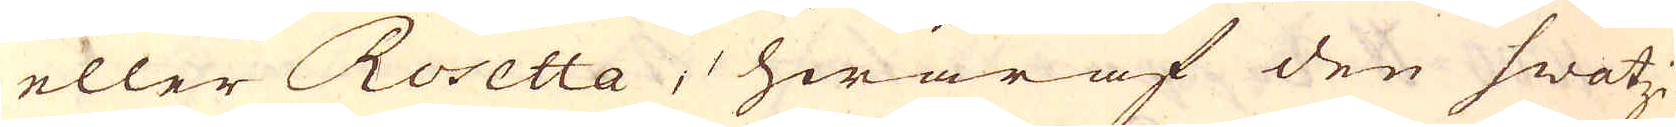eller Rosetta, hwaraf den swatzi-
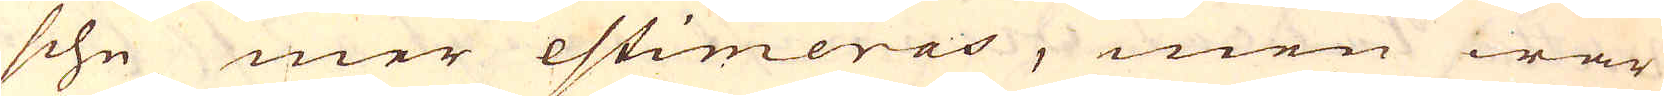sche mer estimeras, men war
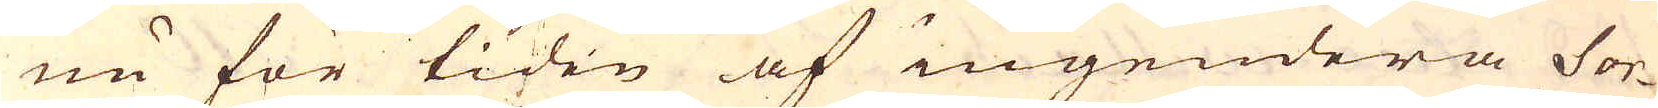nu för tiden af ingendera Sor-
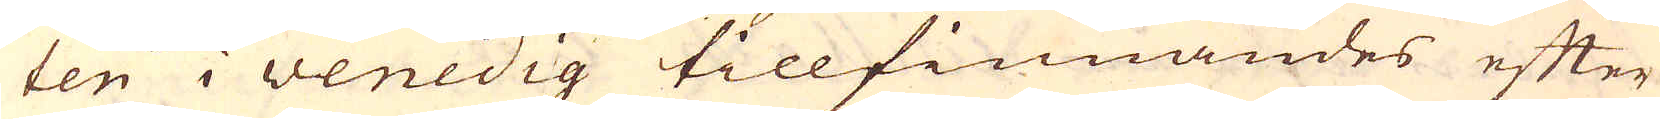ten i venedig tillfinnandes efter
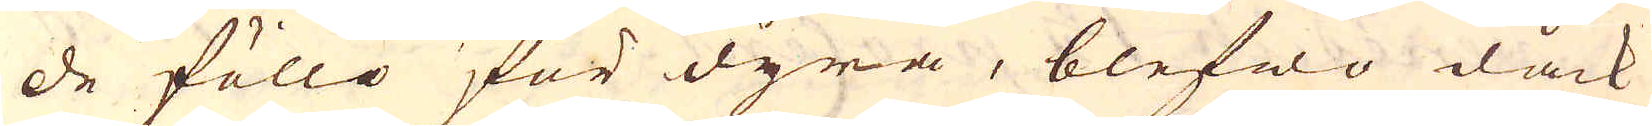de föllo för dyra, blefwo dåck
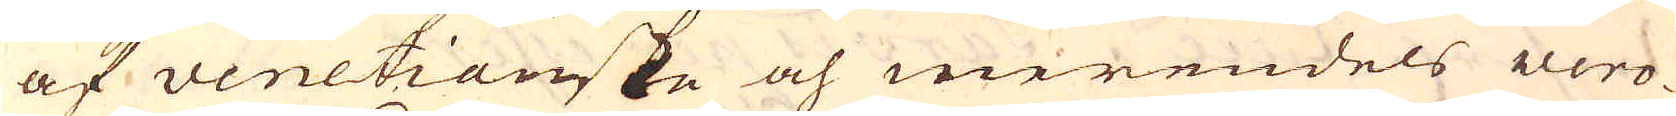af venetianske och merendels vero-
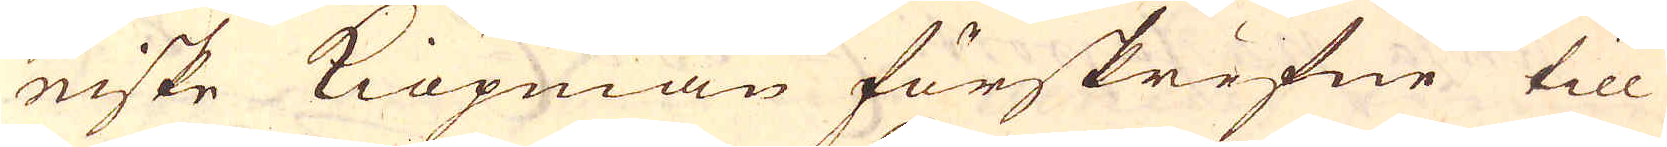niske Kiöpmän förskrifne till
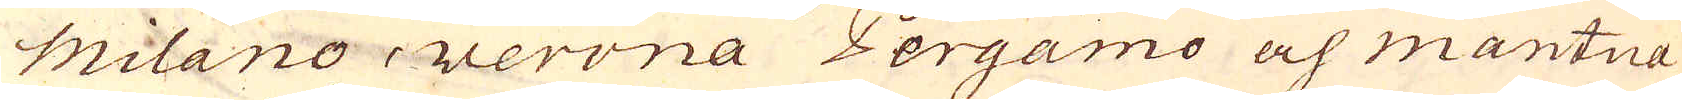milano, Verona, Pergamo och mantua
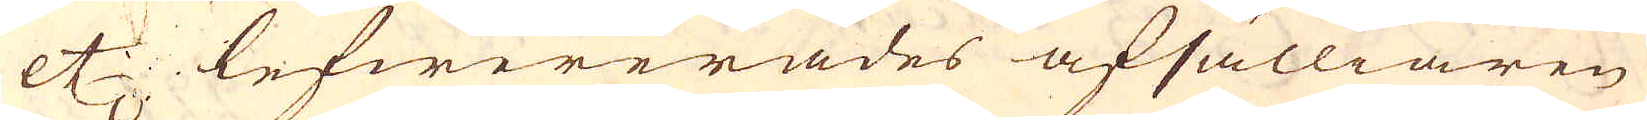etc lefwererades afsälliaren
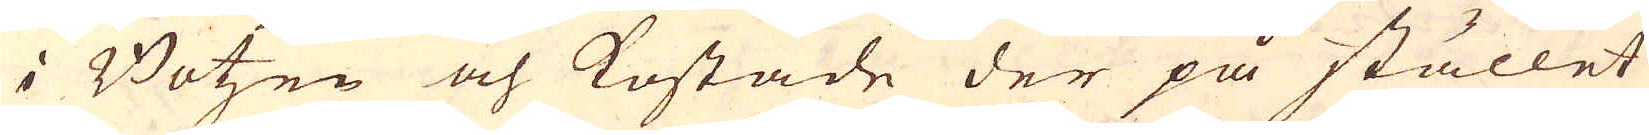i Botzen och kostade der på stället
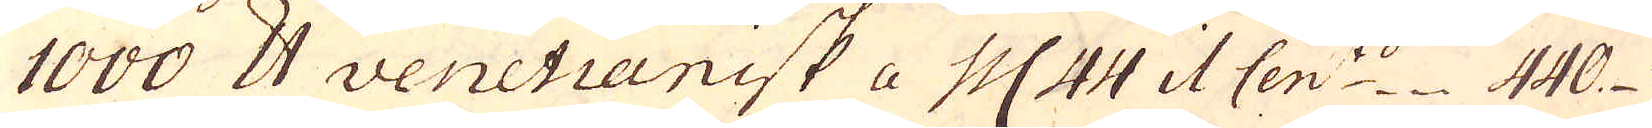1000 skålpund venetianisk a pc 44 i1 Cen:to 440
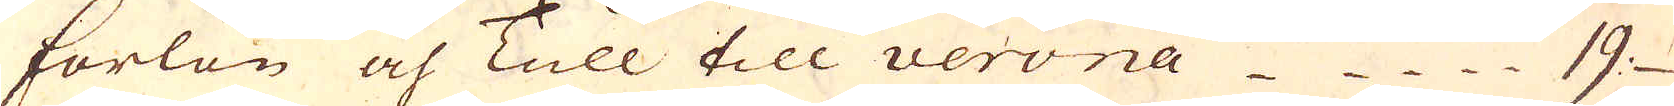forlön och Tull till verona 19
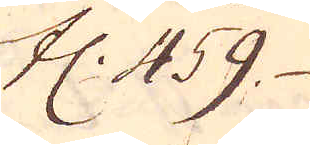Fl: 459
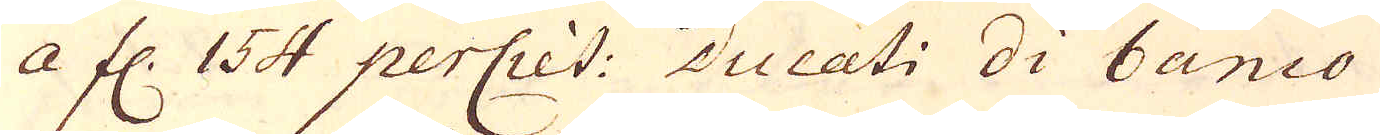a fl. 154 perciet: Ducati Di banco
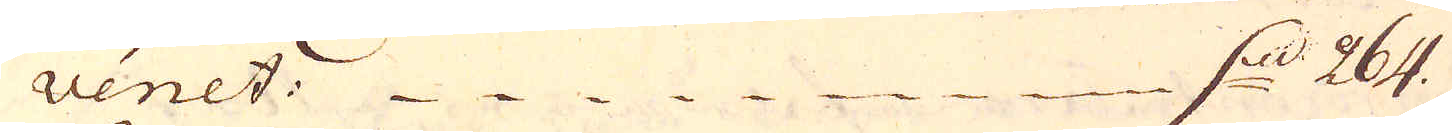venet. d. 264.
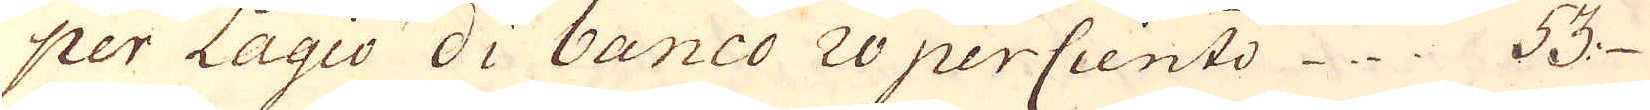per Lagio di banco 20 perCiento 53
